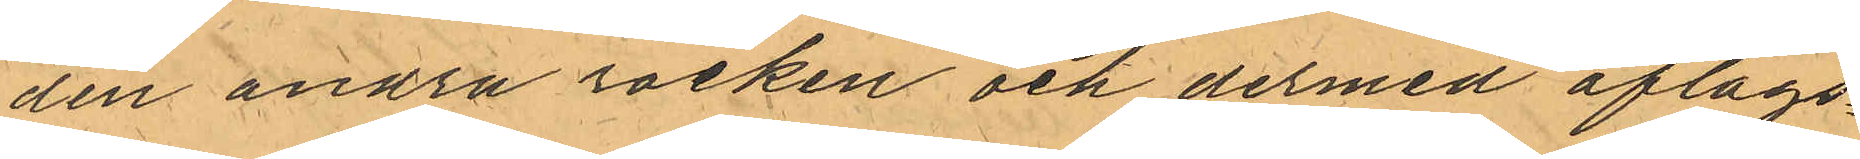den andra rocken och dermed aflägs¬
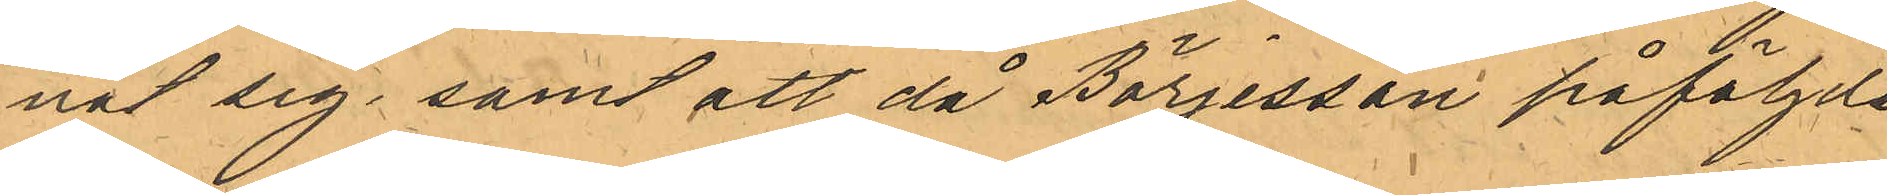nat sig; samt att då Börjesson påföljde
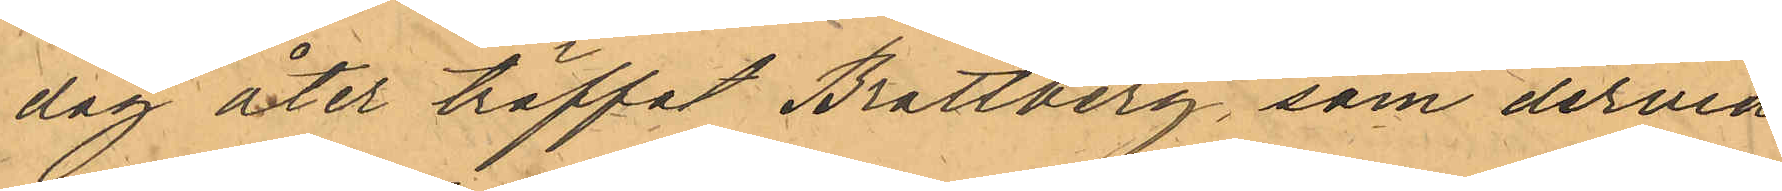dag åter träffat Brattberg, som dervid
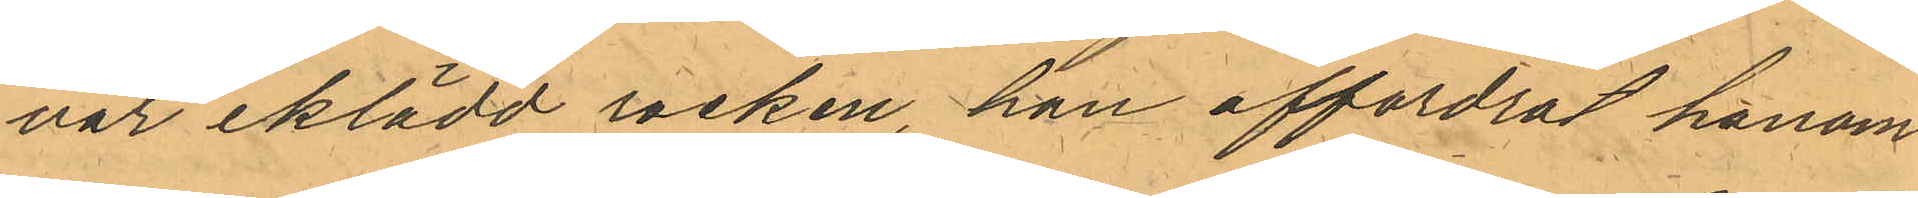var iklädd rocken, han affordrat honom
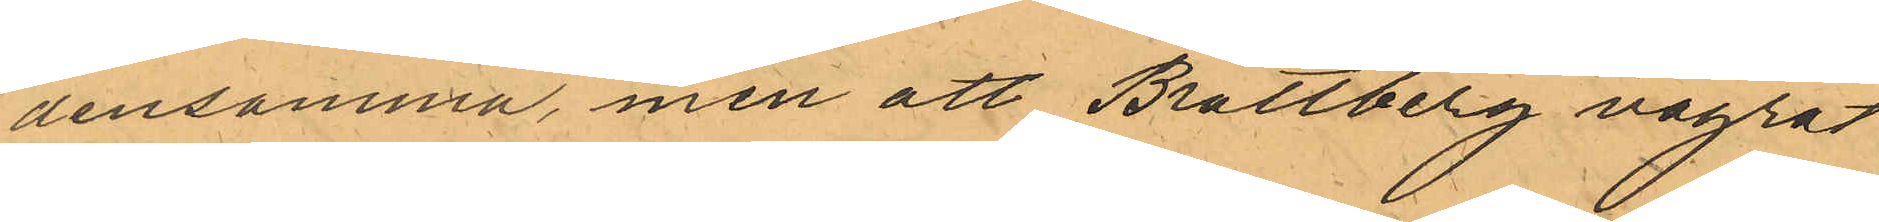densamma, men att Brattberg vägrat
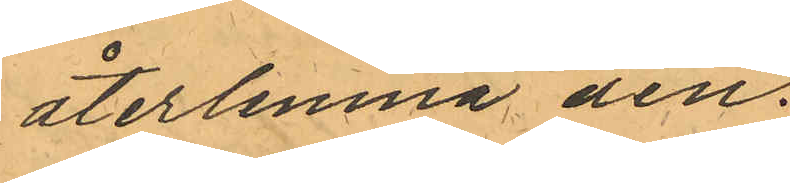återlemna den.
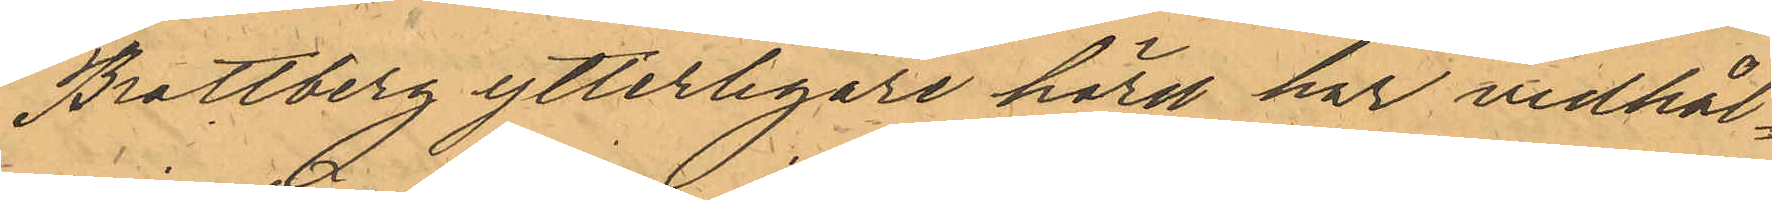Brattberg ytterligare hörd har vidhål¬
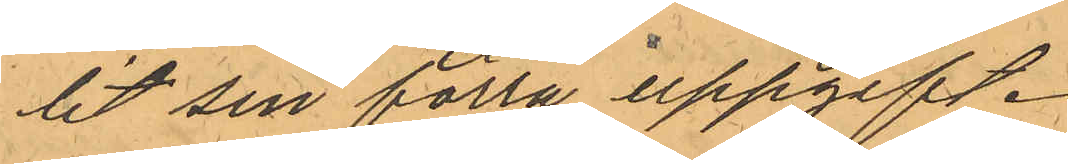lit sin förra uppgift.
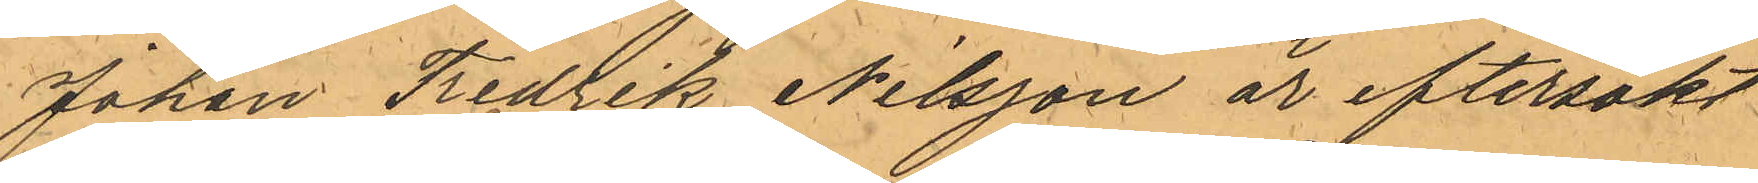Johan Fredrik Nilsson är eftersökt
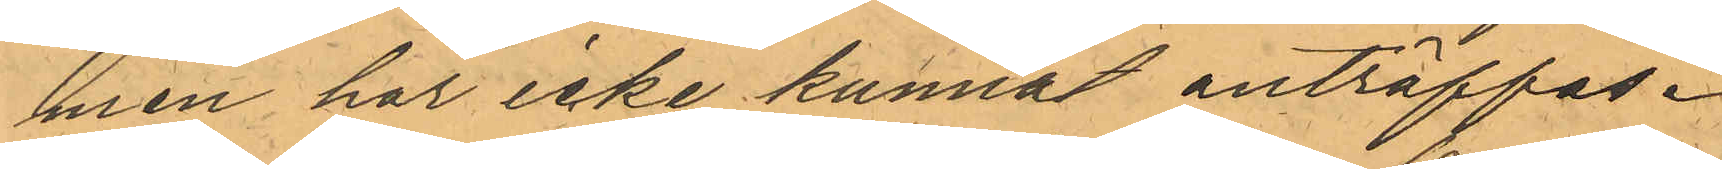men har icke kunnat anträffas.
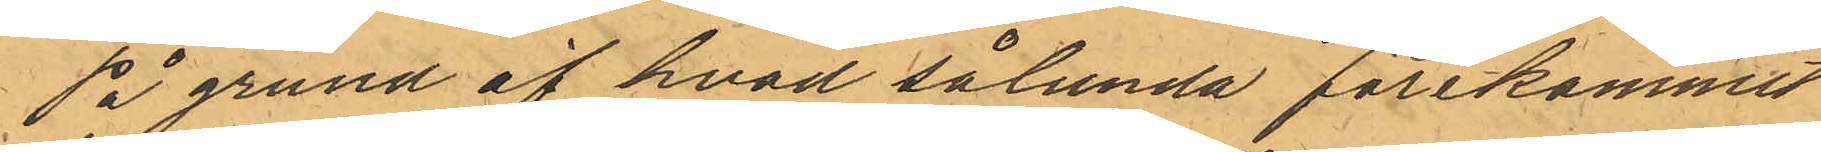På grund af hvad sålunda förekommit
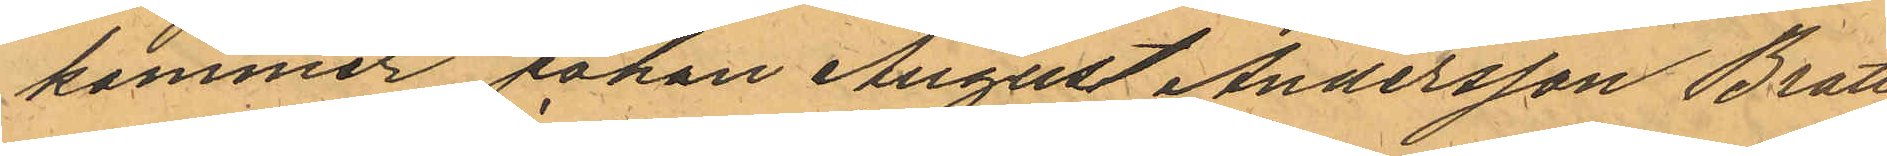kommer Johan August Andersson Bratt¬
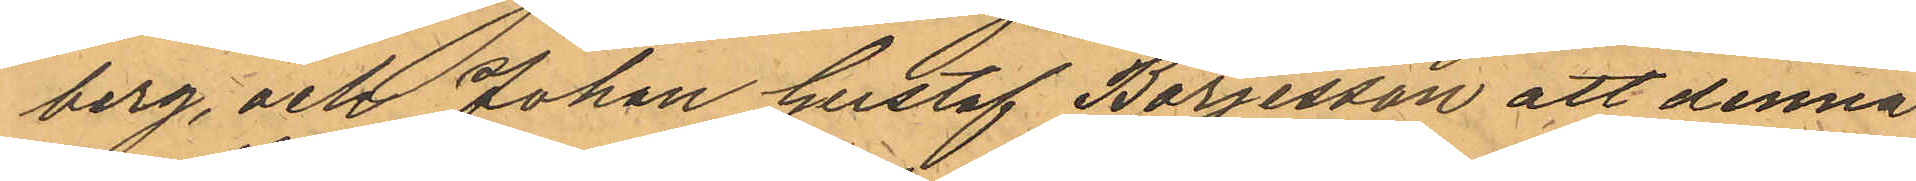berg, och Johan Gustaf Börjesson att denna
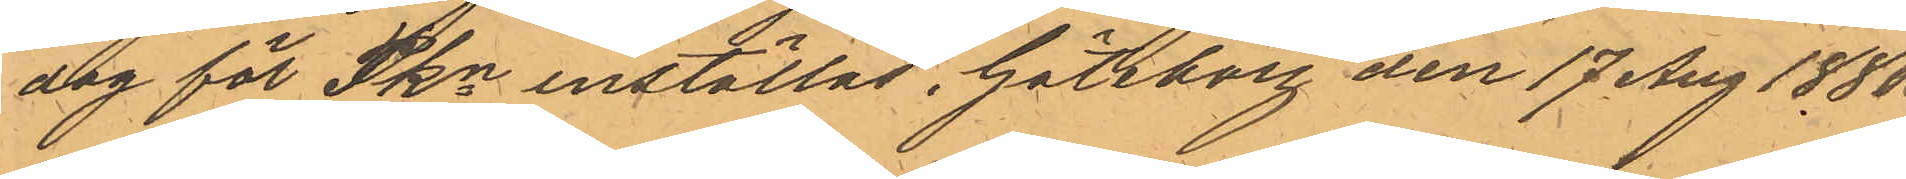dag för Pkn inställas. Göteborg den 17 Aug 1850.
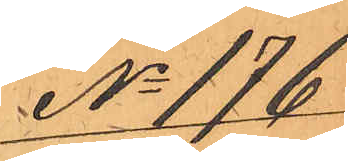No 196
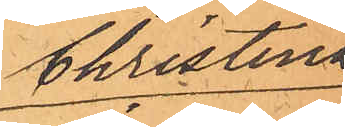Christina
